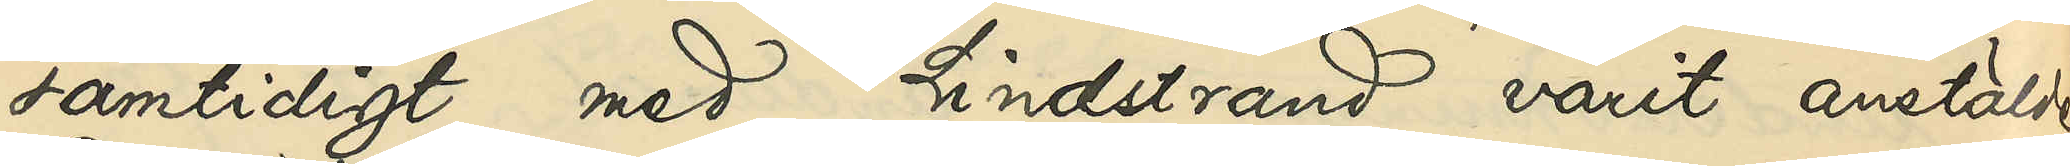samtidigt med Lindstrand varit anstälde
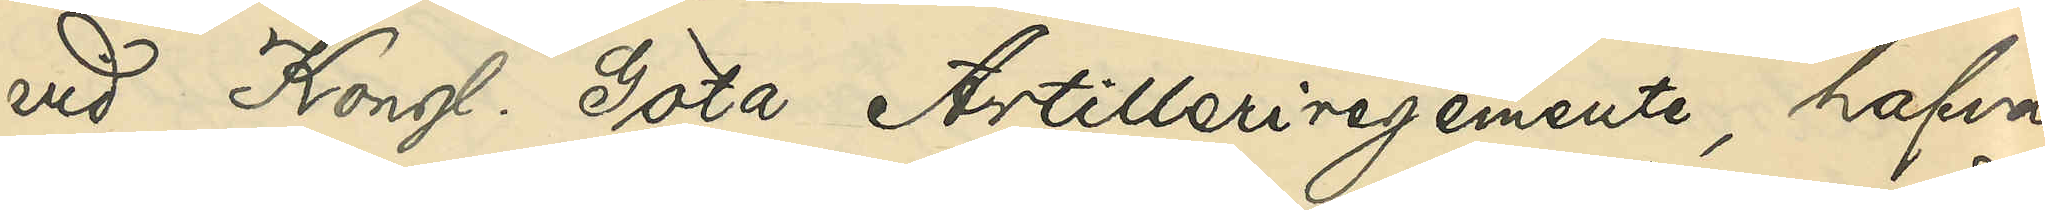vid Kongl. Göta Artilleriregemente, hafva
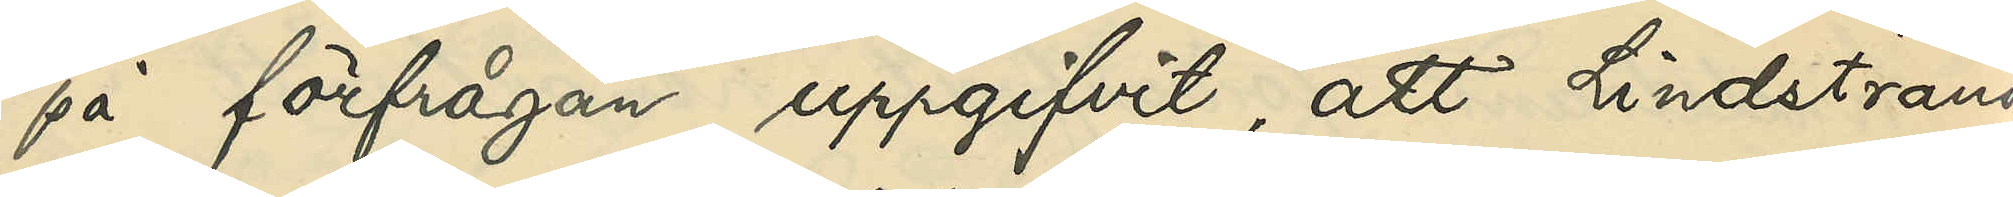på förfrågan uppgifvit, att Lindstrand
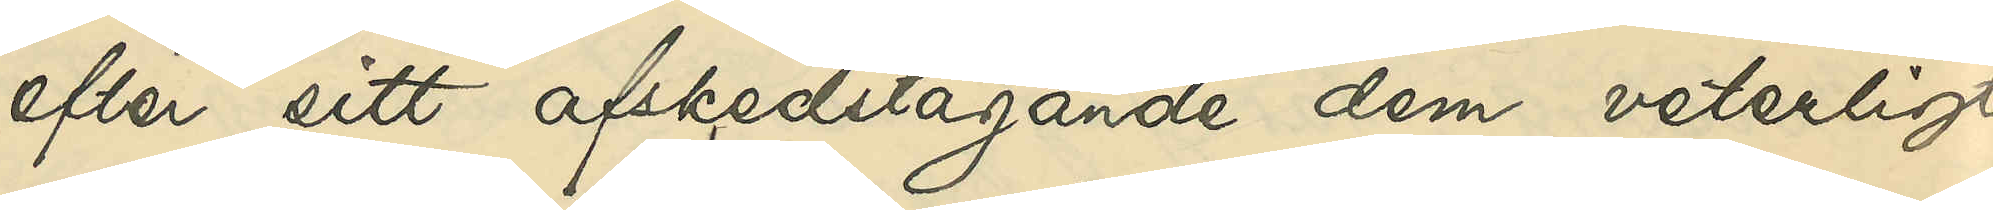efter sitt afskedstagande dem veterligt
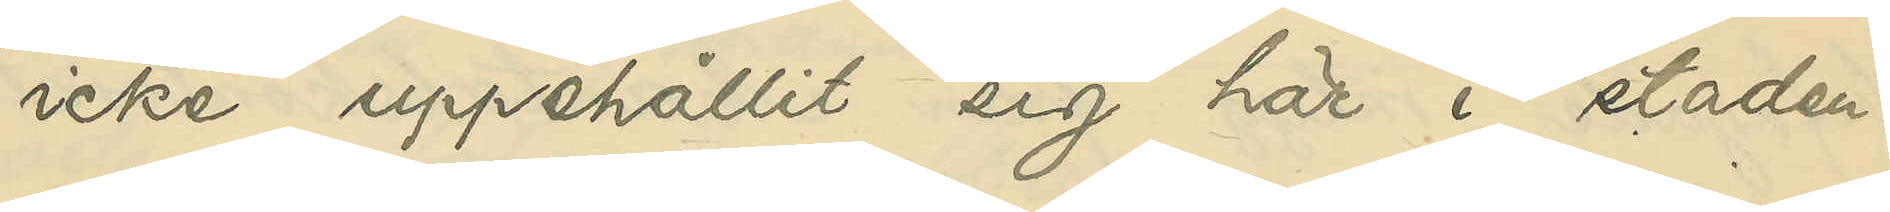icke uppehållit sig här i staden.
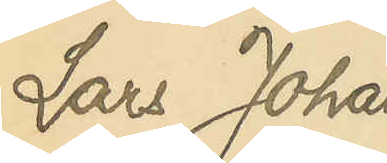Lars Johan
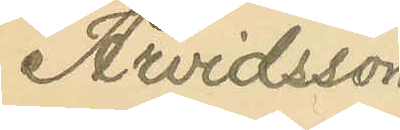Arvidsson
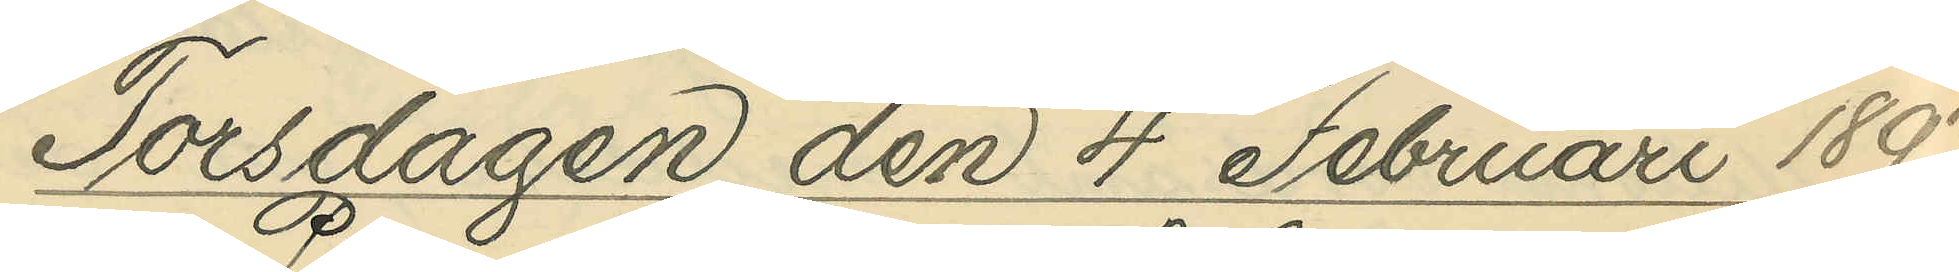Torsdagen den 4 Februari 1897
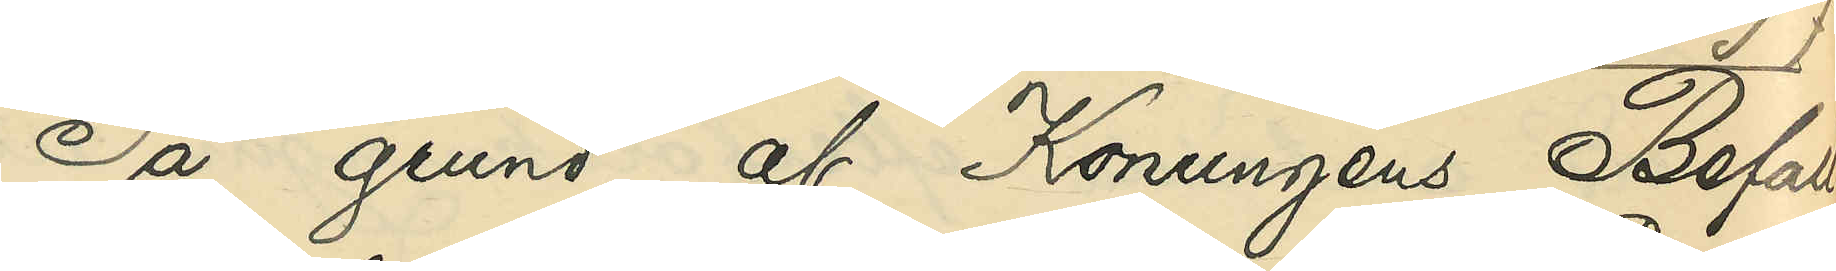På grund af Konungens Befall¬
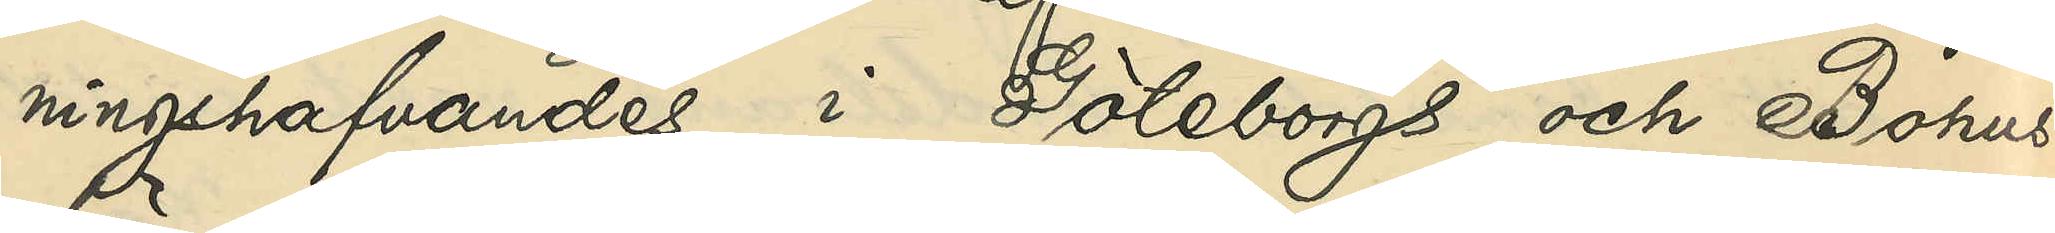ningshafvandes i Göteborgs och Bohus
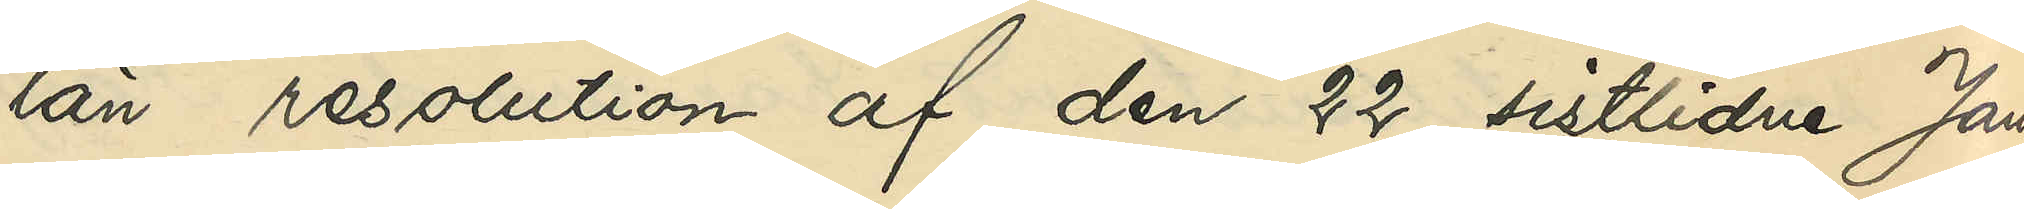län resolution af den 22 sistlidne Janu¬
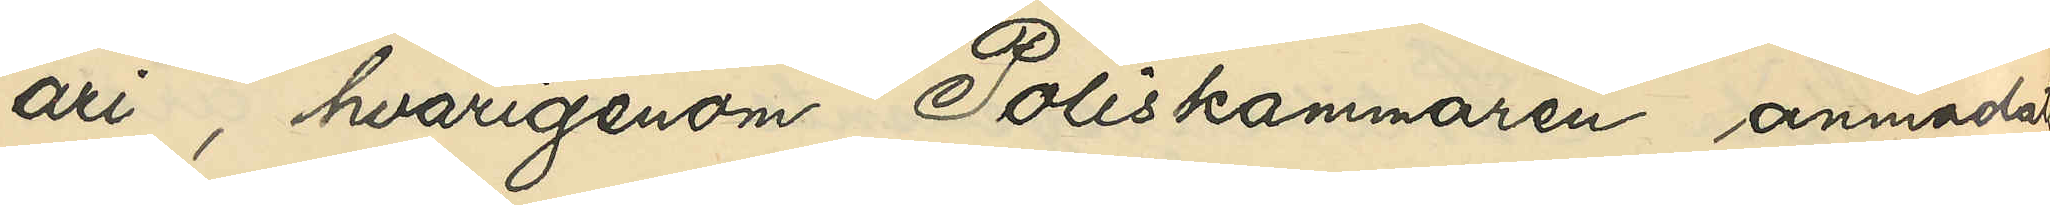ari, hvarigenom Poliskammaren anmodtas
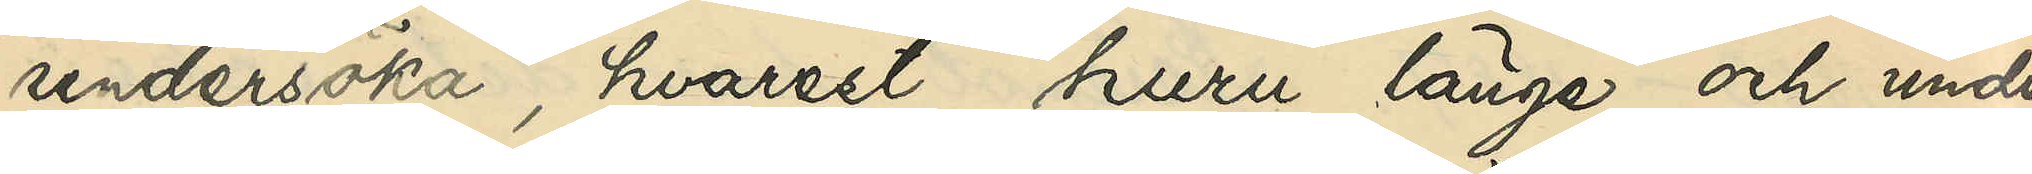undersöka, hvarest, huru länge och under
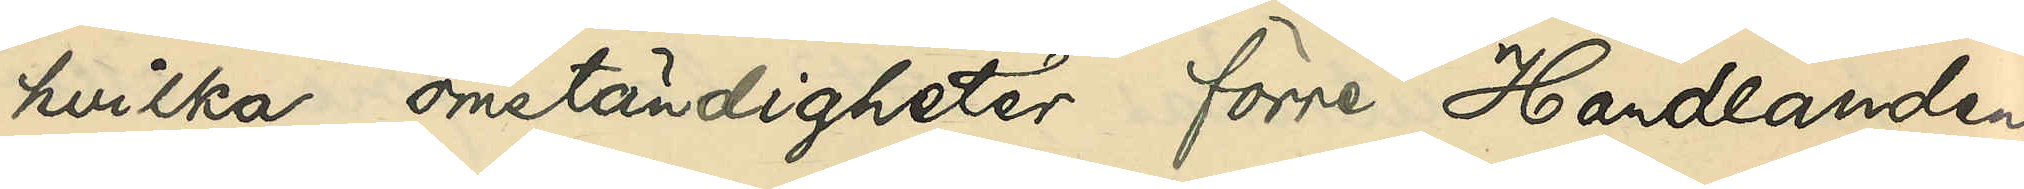hvilka omständigheter förre Handlanden
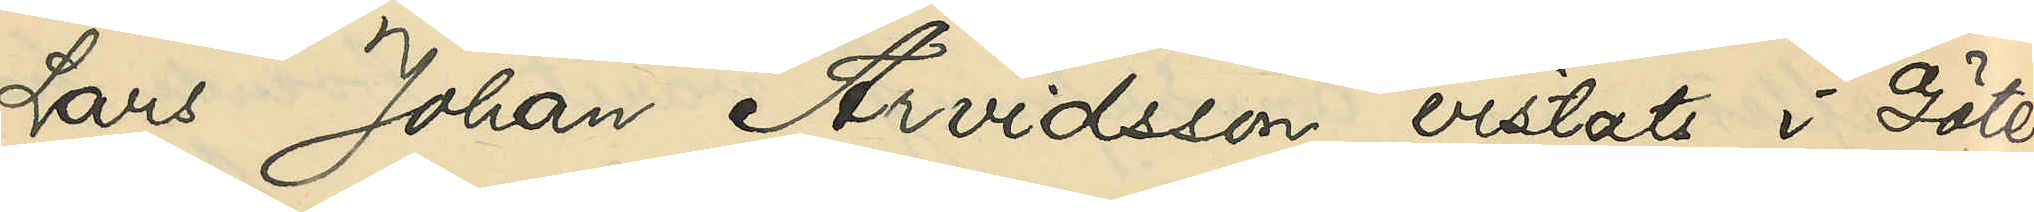Lars Johan Arvidsson vistats i Göte¬
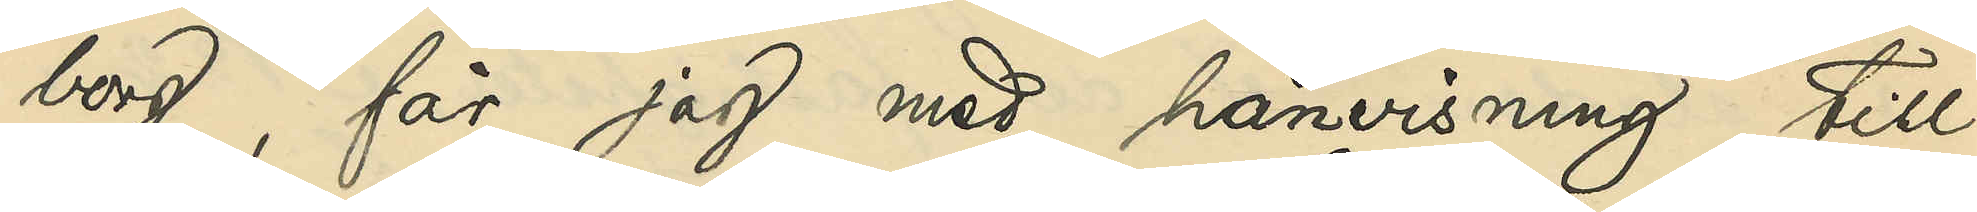borg, får jag med hänvisning till
